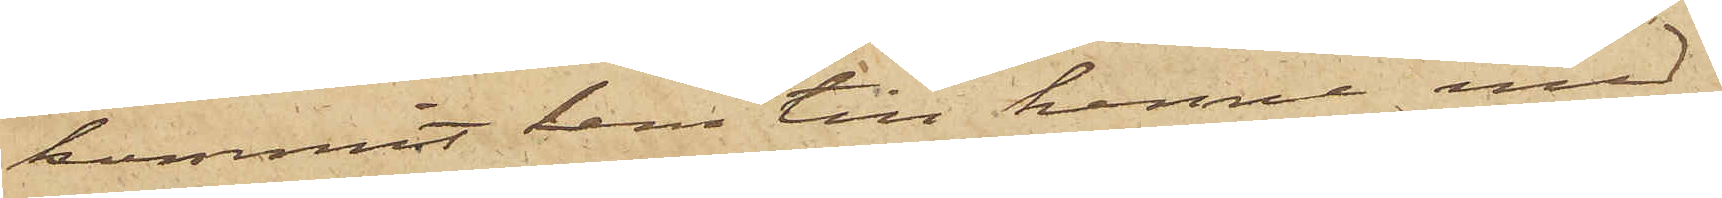kommit hem till henne med
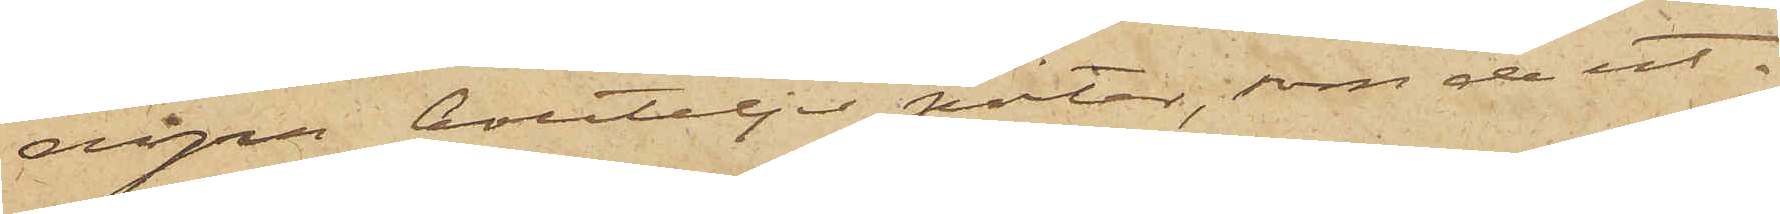några bouteljer porter, som de ut¬
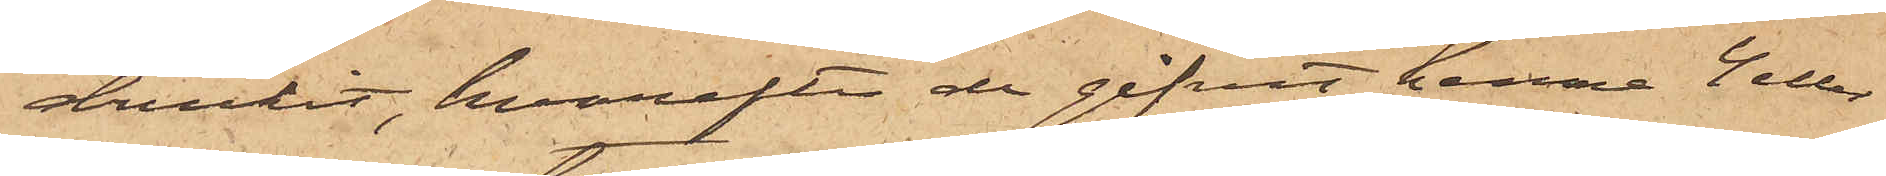druckit, hvarefter de gifvit henne 4 eller
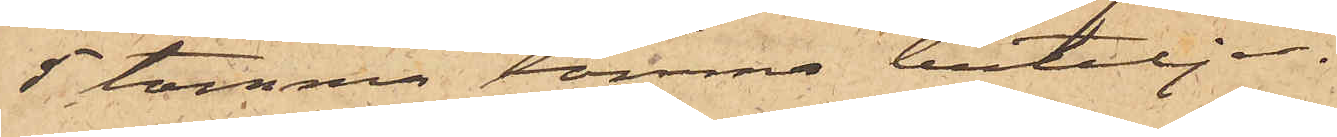5 tomma tomma buteljer.
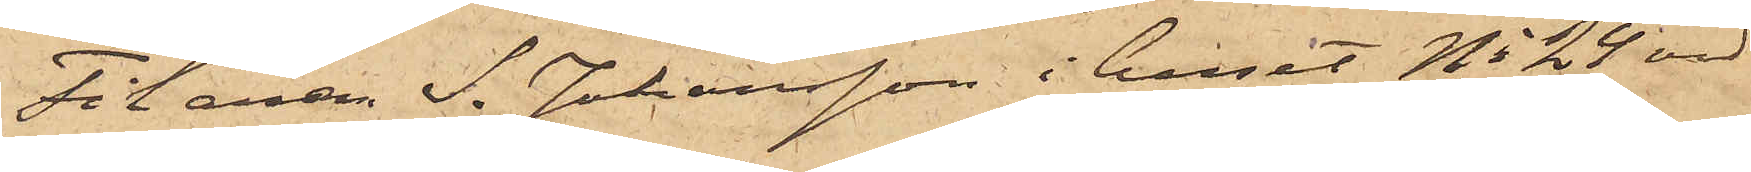Filaren S. Johansson i huset No 24 vid
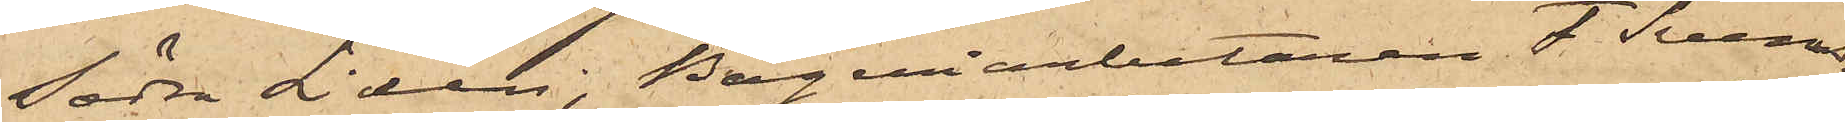Södra Liden, Bageriarbetaren F. Svens¬
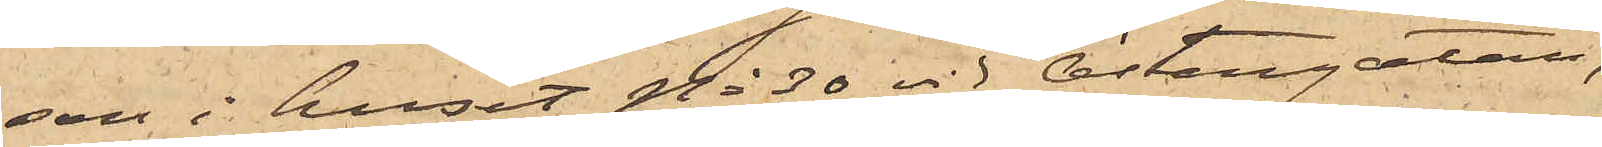son i huset No 30 vid Östergatan,
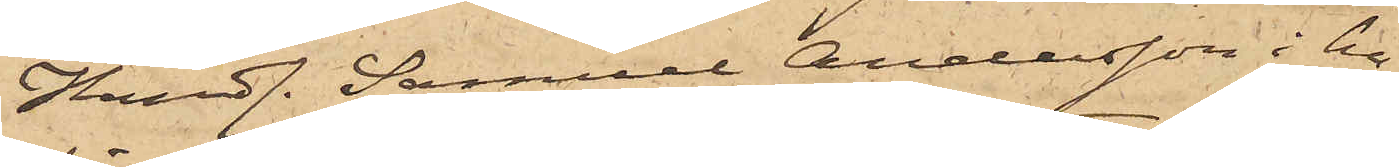Handl. Samuel Andersson i hu¬
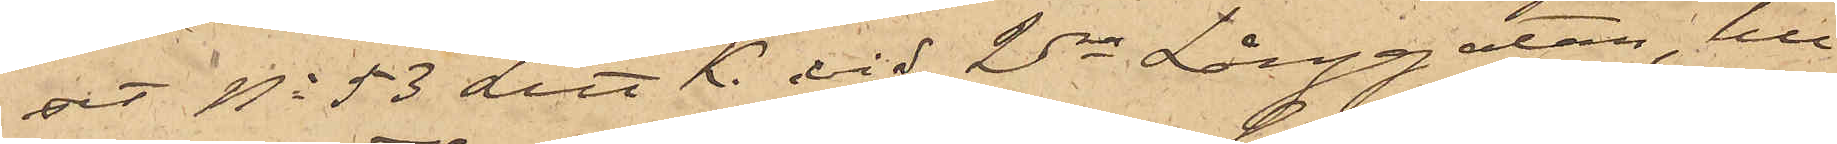set No 53 Litt A. vid 2dra Långsgatan, hus¬
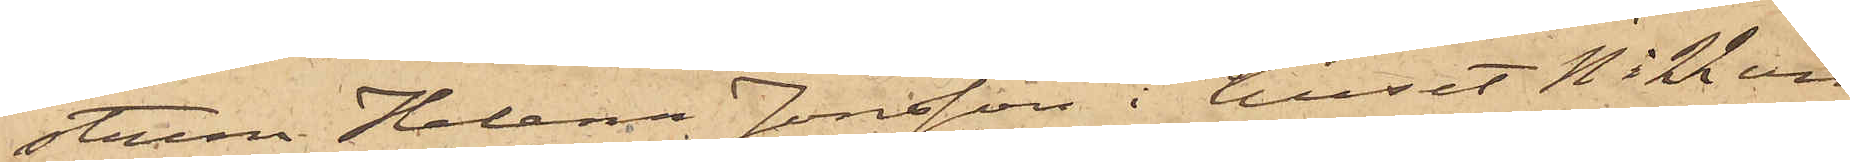strun Helena Jonsson i huset No 22 vid
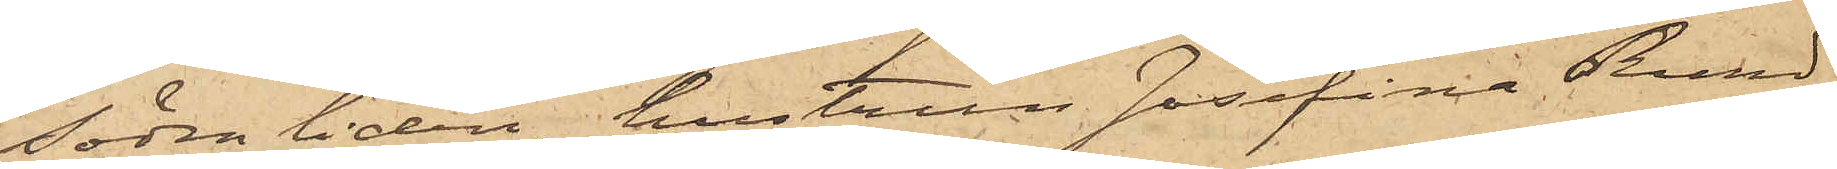Södra liden, hustrun Josefina Rund¬
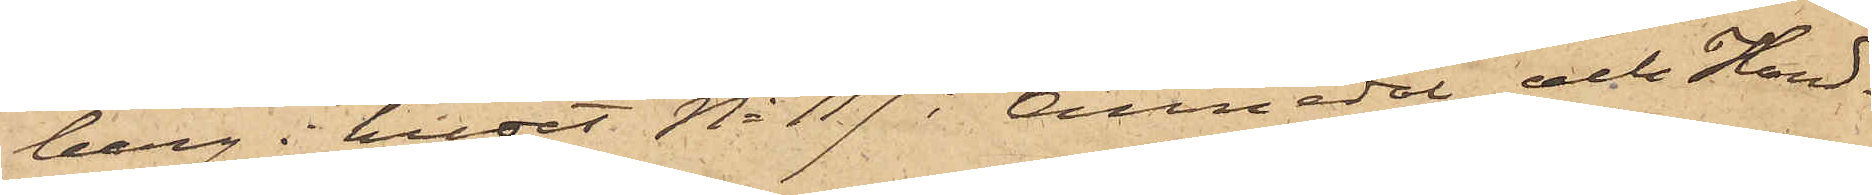berg i huset No 117 i Annedal och Hand¬
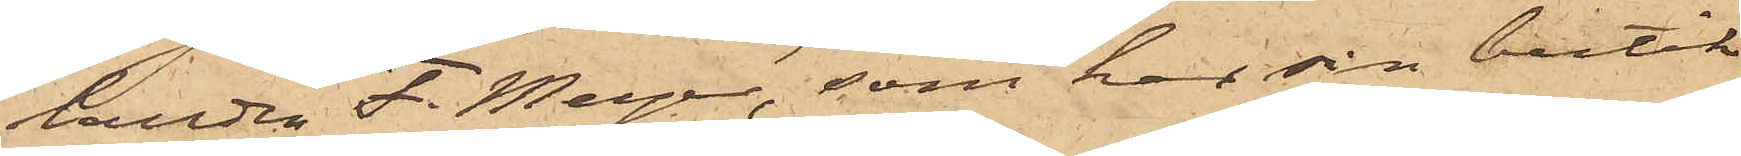landen F. Meyer, som har sin butik
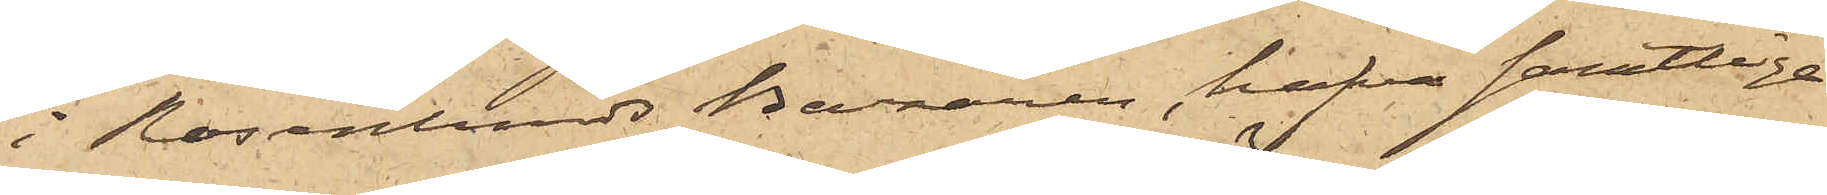i Rosenlunds Bazaren, hafva samtliga
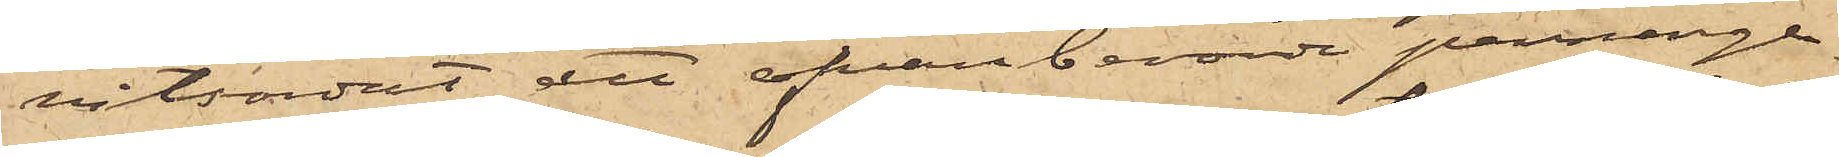vitsordat att ofvanberörde penninge¬
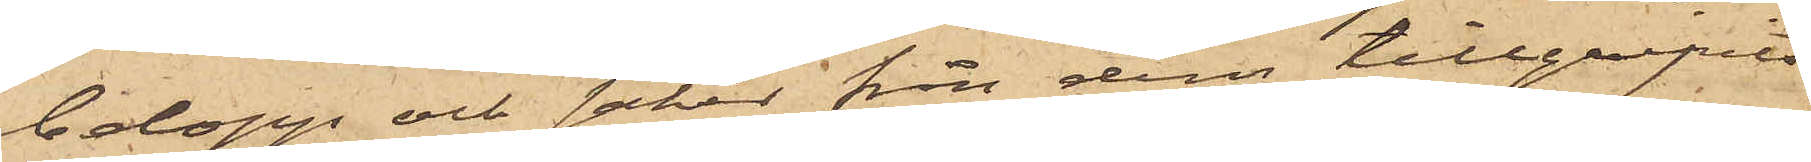belopp och saker från dem tillgripits
